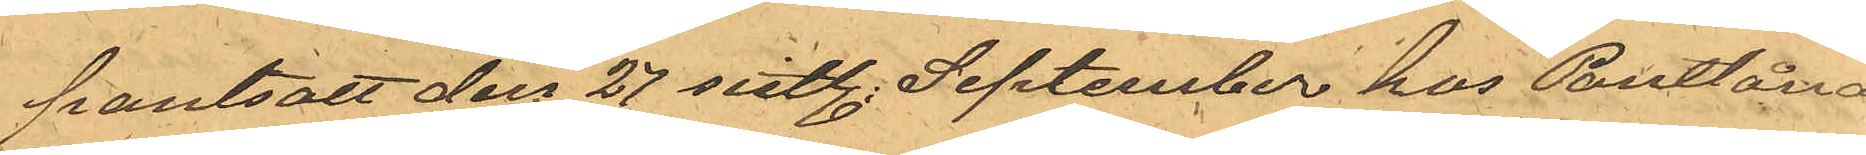pantsatt den 27 sistl. September hos Pantlåna¬
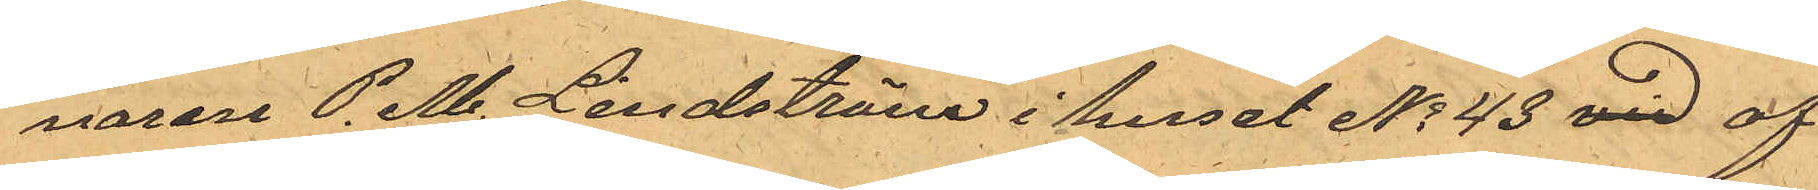naren P. M. Lindström i huset No 43 vid af
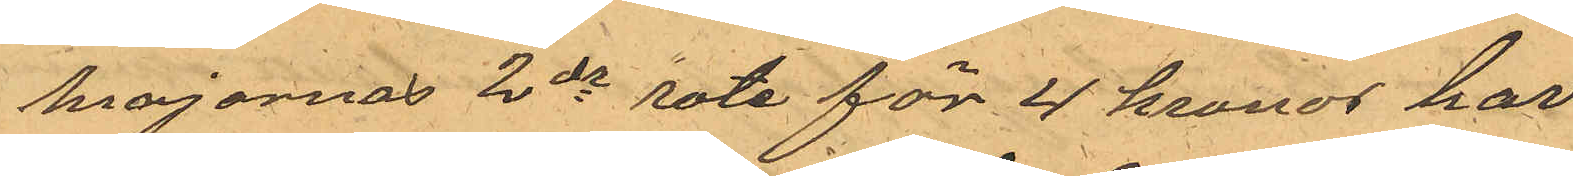Majornas 2de rote för 4 kronor har
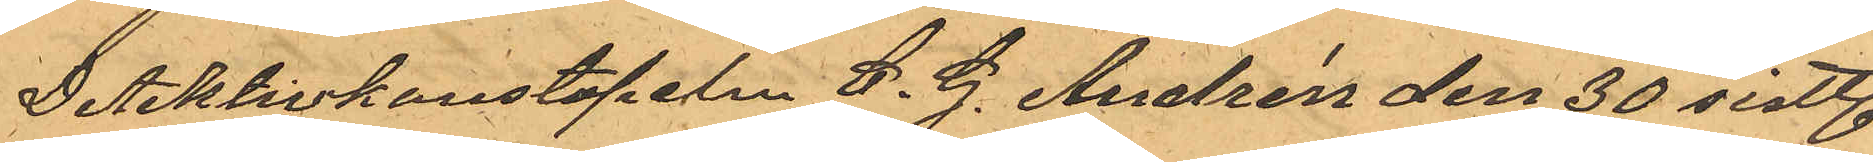Detektivkonstapeln C. G. Andrén den 30 sistl.
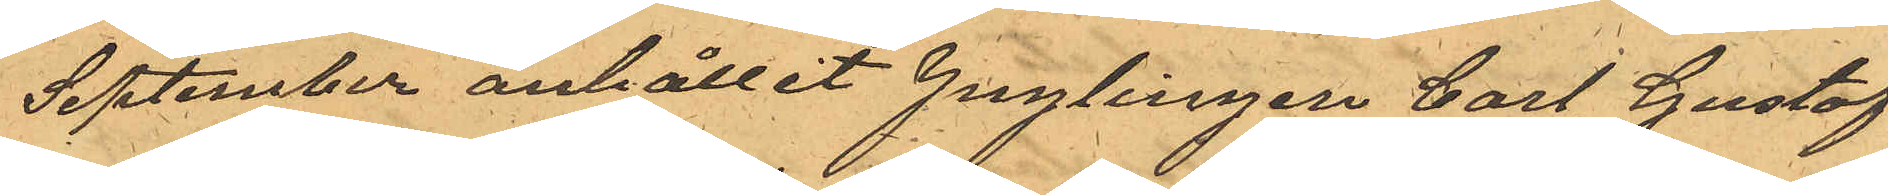September anhållit ynglingen Carl Gustaf
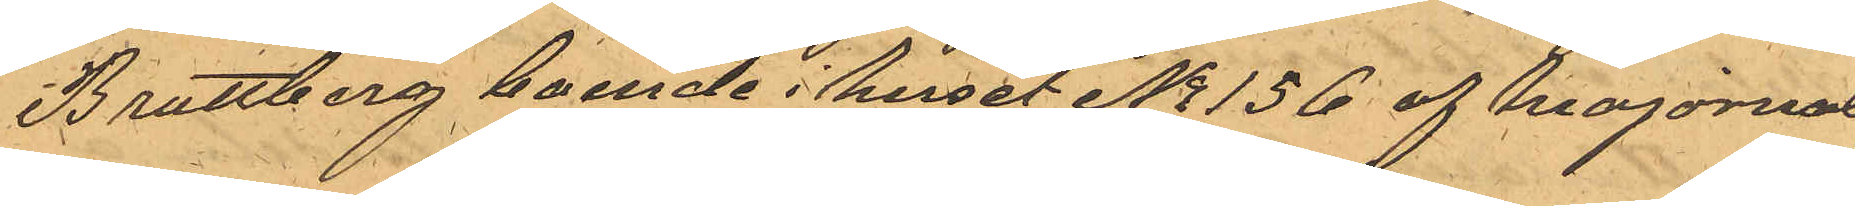Brattberg boende i huset No 156 af Majornas
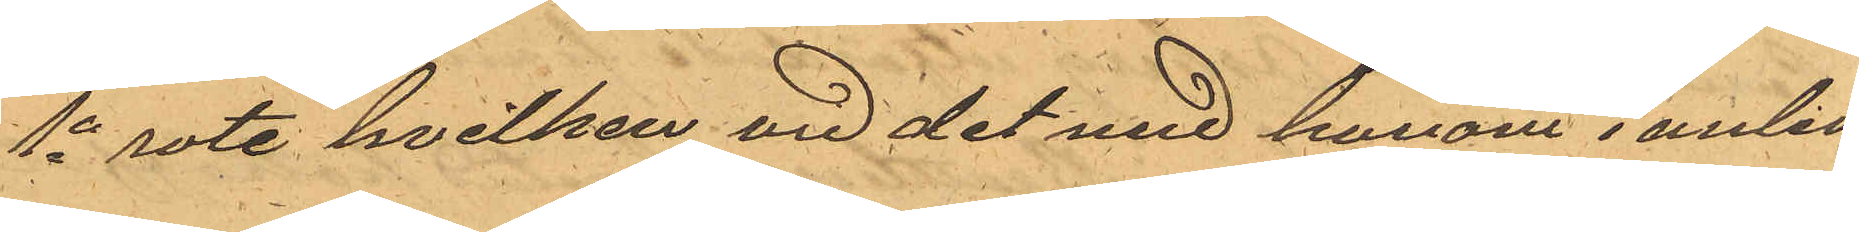1e rote, hvilken vid det med honom i anled¬
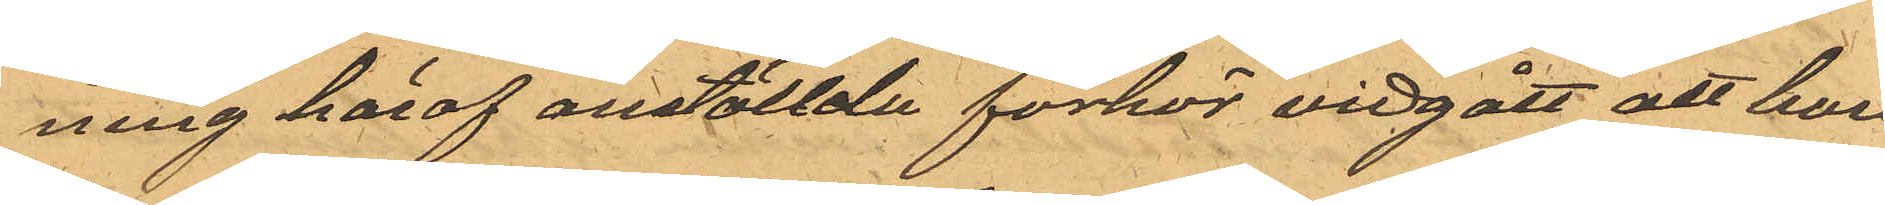ning häraf anställde förhör vidgått att han
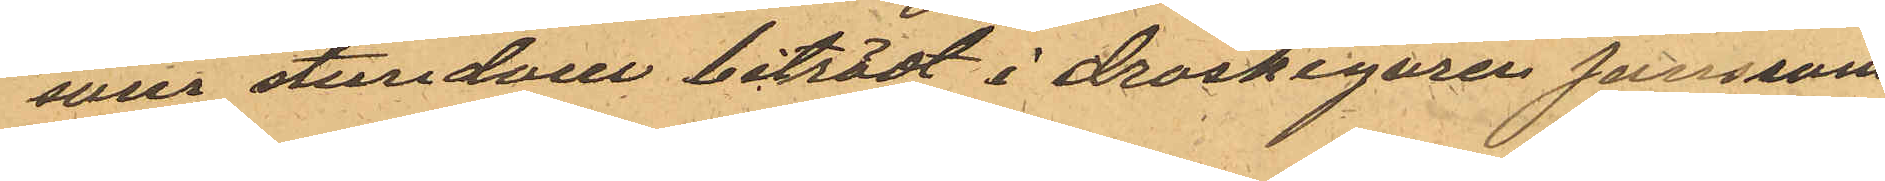som stundom biträdt i droskegaren Janssons
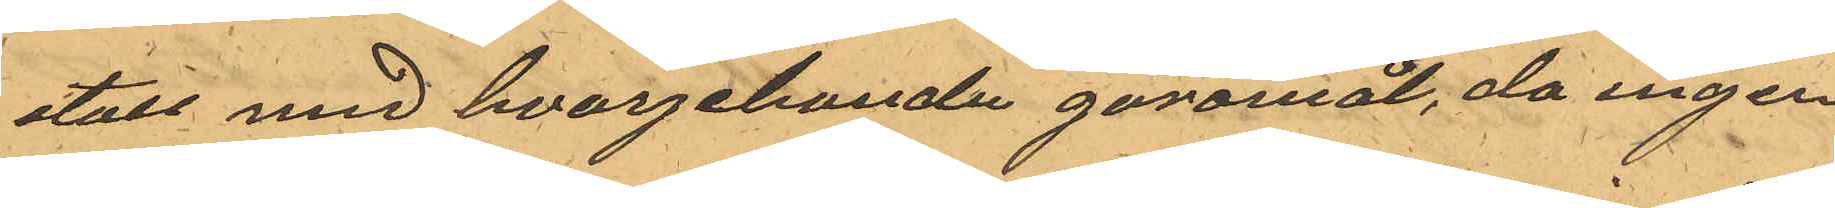stall med hvarjehanda göromål, da ingen
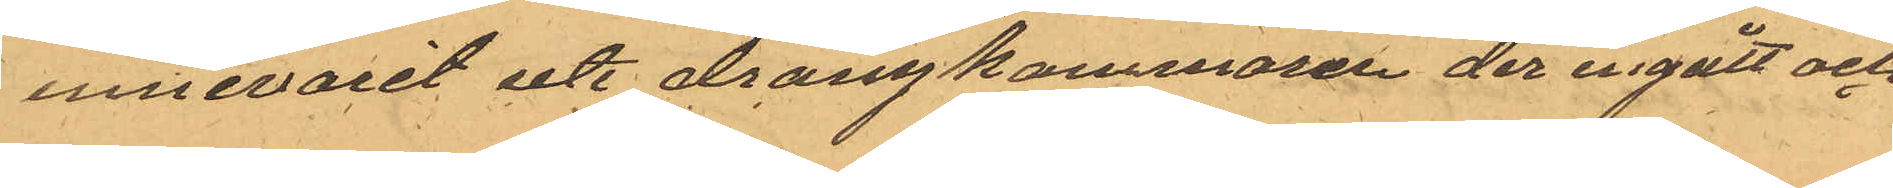innevarit uti drängkammaren der ingått och
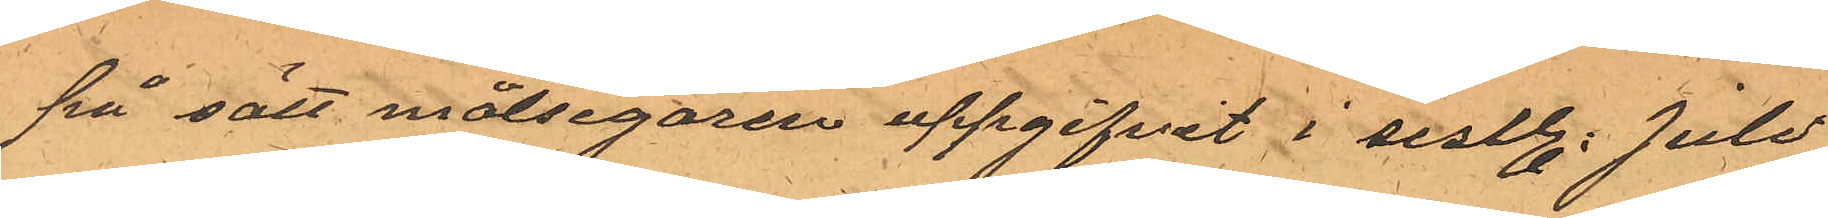på sätt målsegaren uppgifvit i sistl. Juli
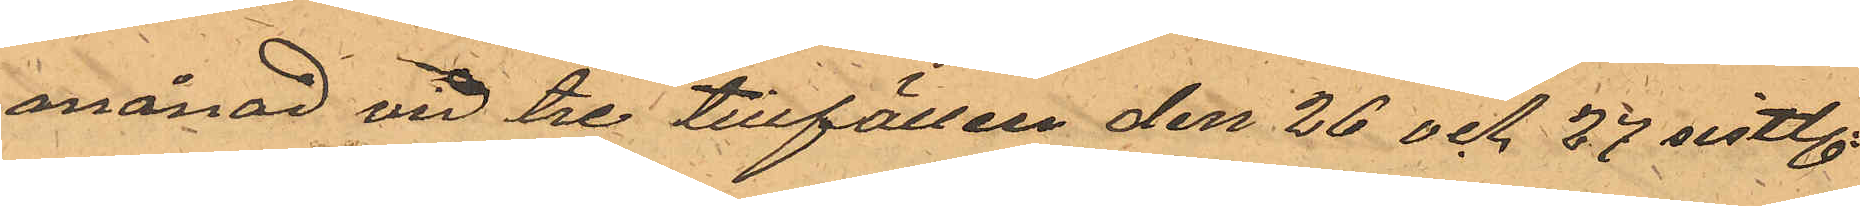månad vid tre tillfällen den 26 och 27 sistl.
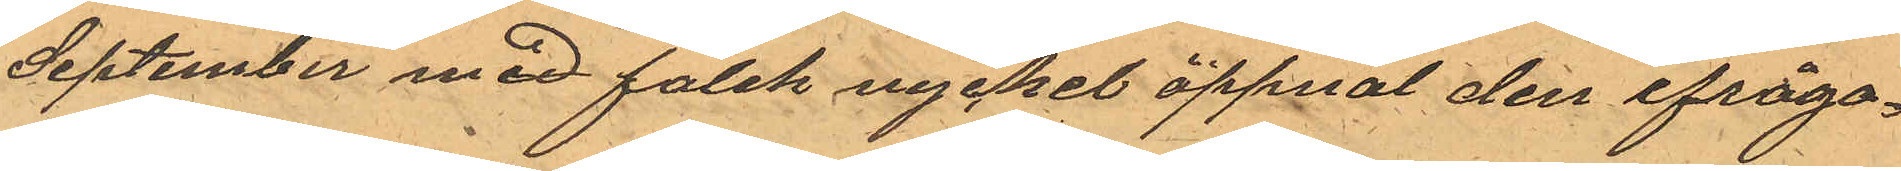September med falsk nyckel öppnat den ifråga¬
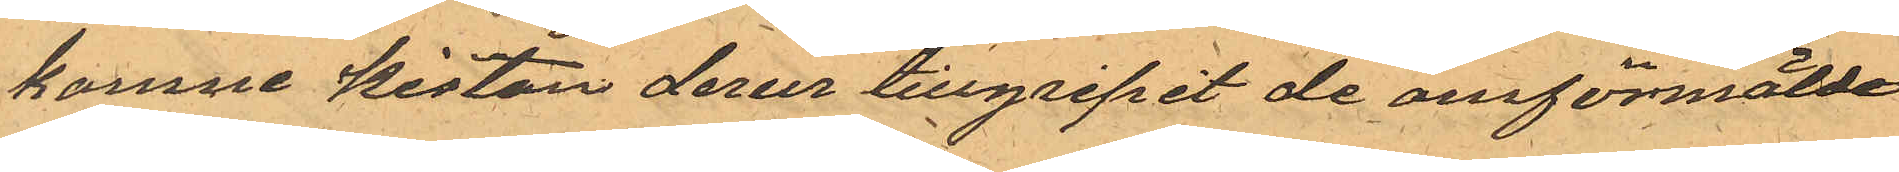komne kistan derur tillgripit de omförmälde
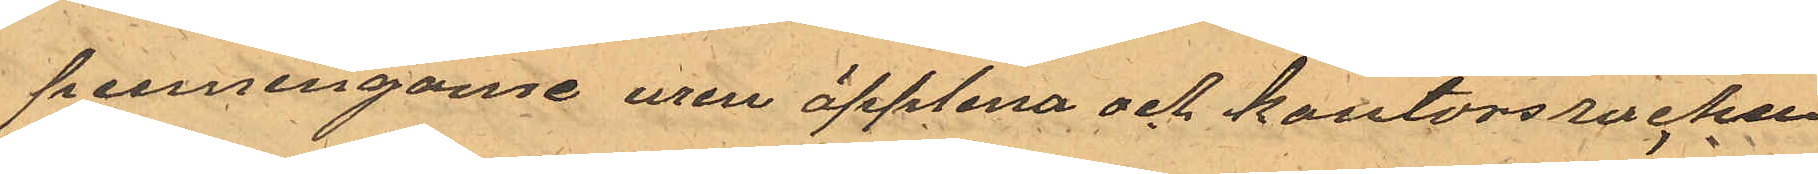penningarne uren äpplena och kontorsrocken
